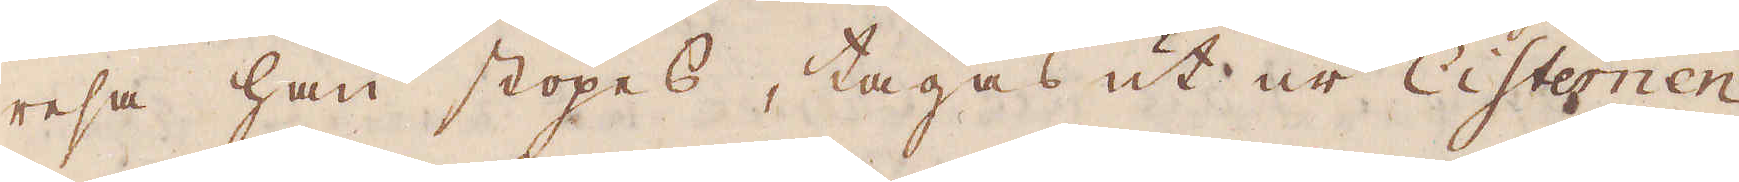resa han stöpes, tages ut ur Cisternen
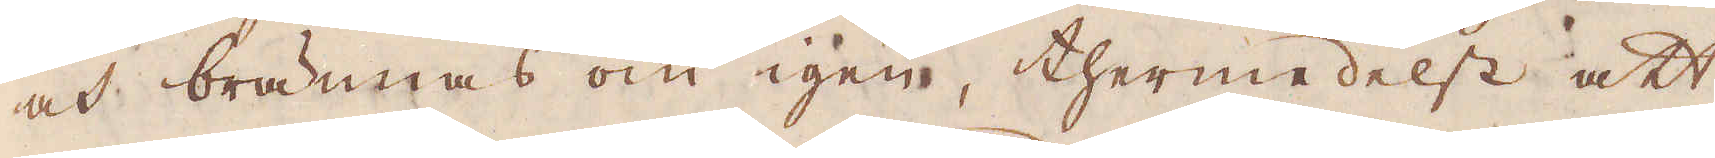och brännas om igen, thermedelst att
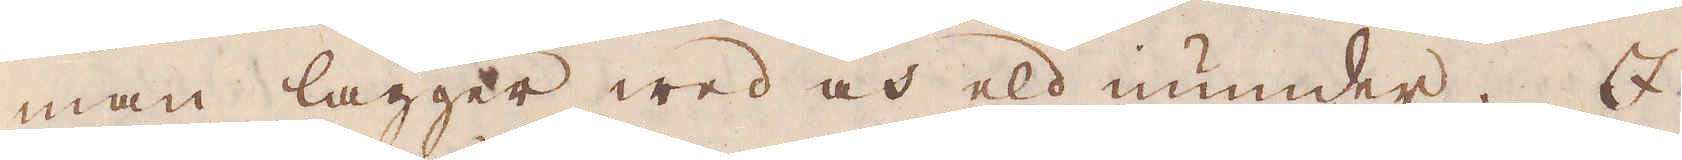man lägger wed och eld under. I
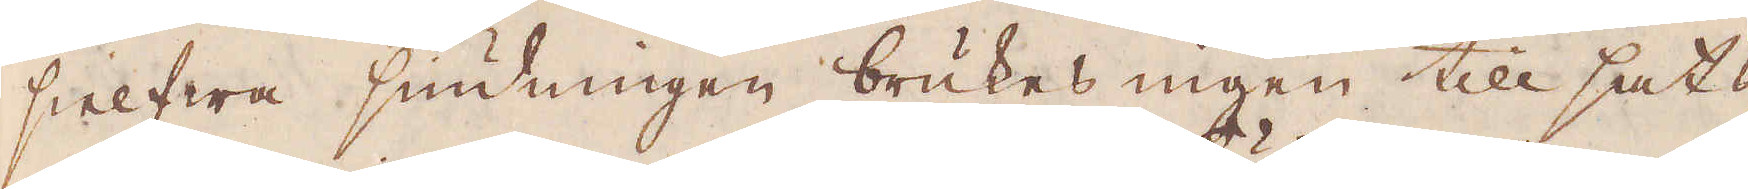sielfwa siudningen brukes ingen till sats
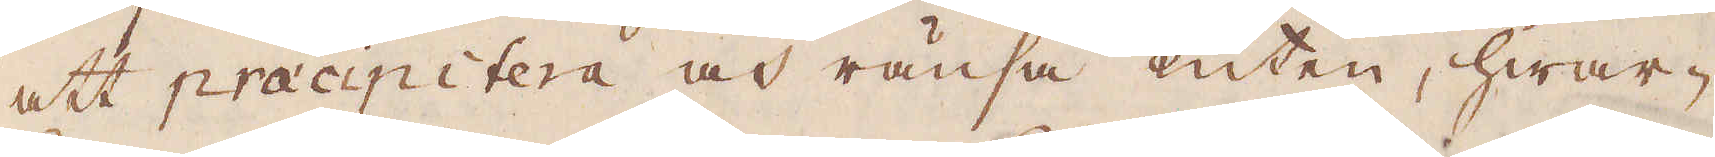att præcipitera och ränsa Luten, hwar-
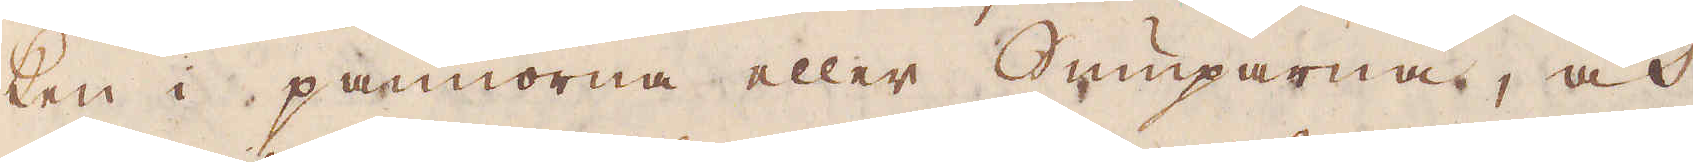ken i pannorna eller Sumparna, och
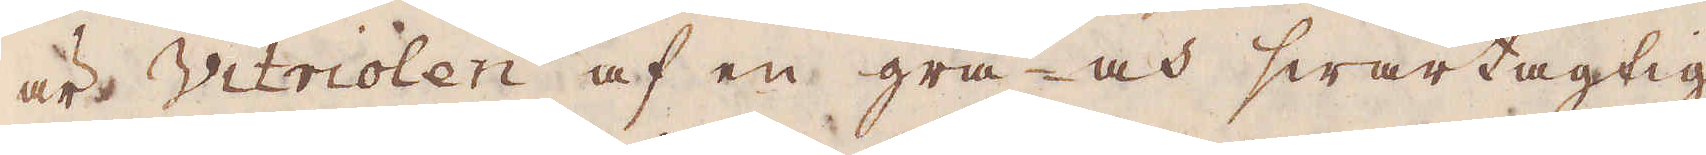är Vitriolen af en grå- och swartagtig
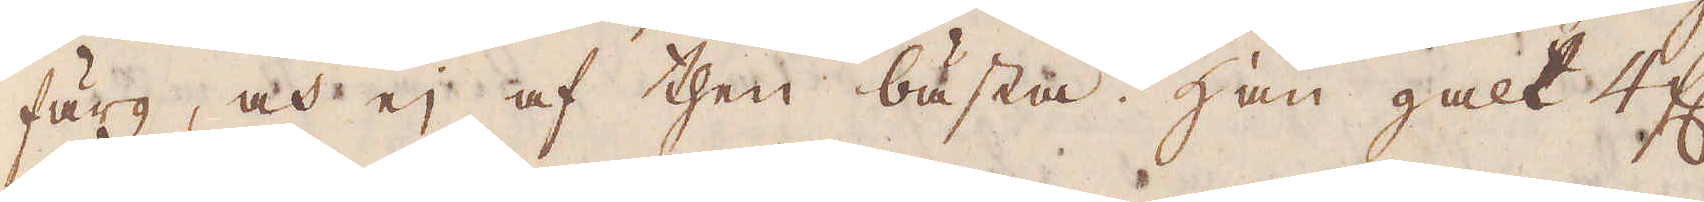färg, och ej af then bästa. Han galt 4 fl.
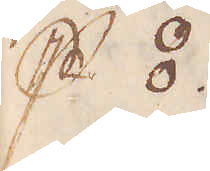p⦂
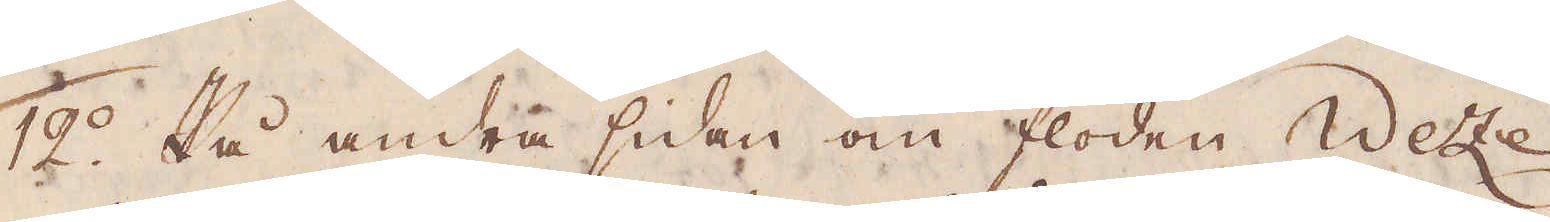12:o På andra sidan om floden Wete
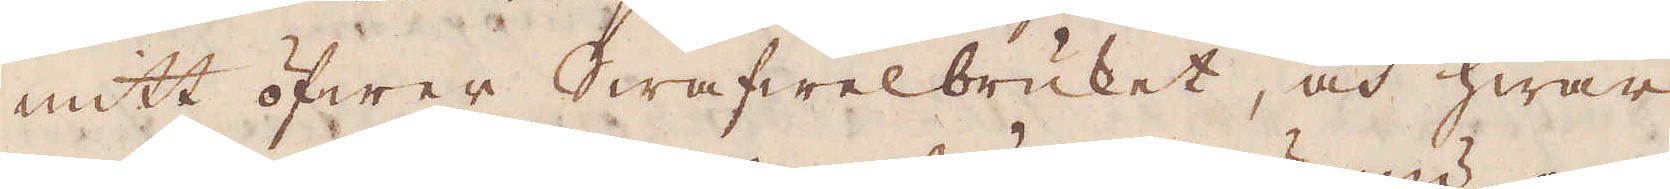mitt öfwer Swafwelbruket, och hwar
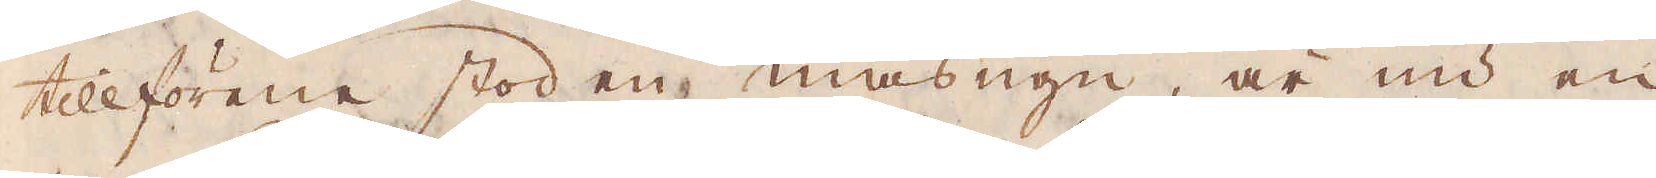tillförene stod en masugn, är nu en
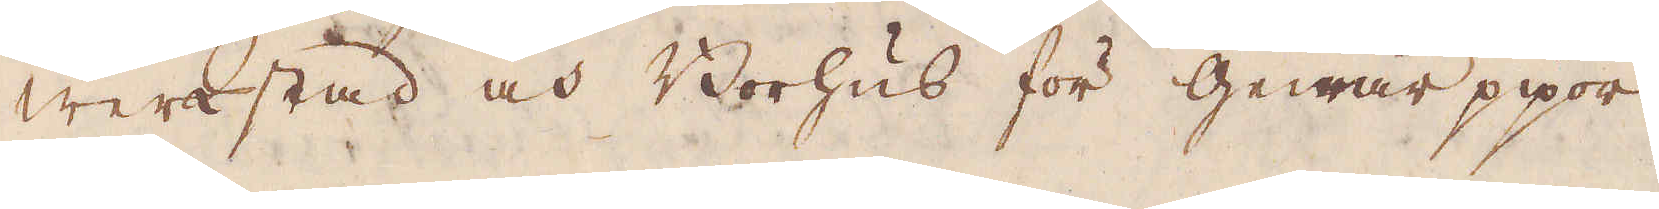werkstad och Borhus för Gewär pipor
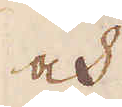och
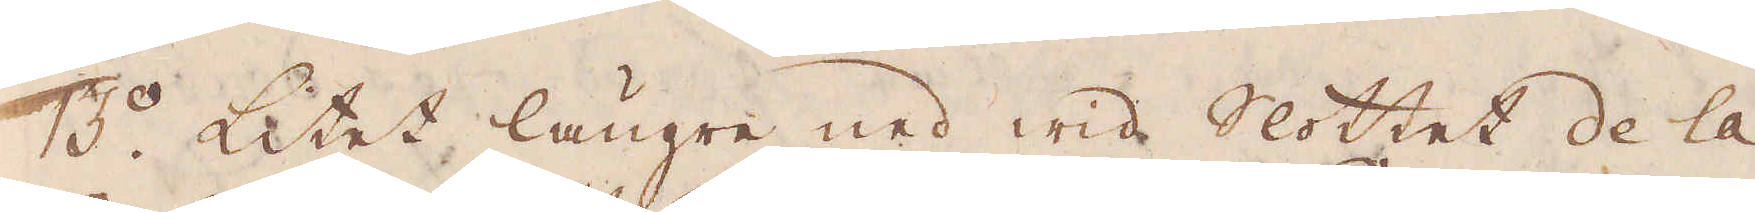3:o Litet längre ned wid Slottet de la
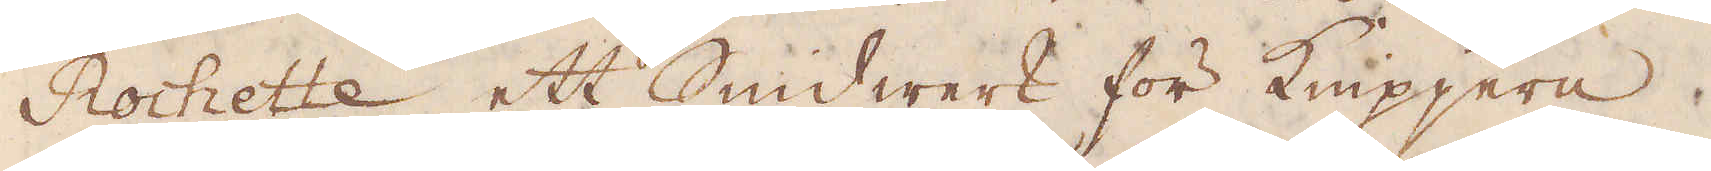Rochette ett Smidwerk för knipjern.
